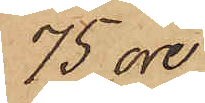75 öre.
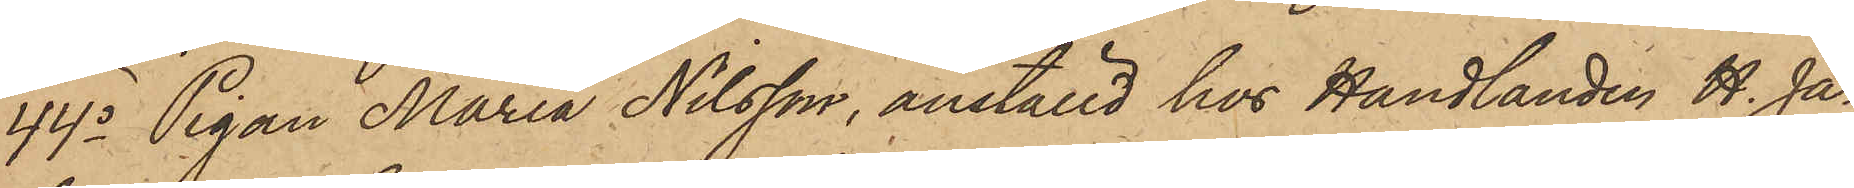44o Pigan Maria Nilsson, anställd hos Handlanden H. Ja¬
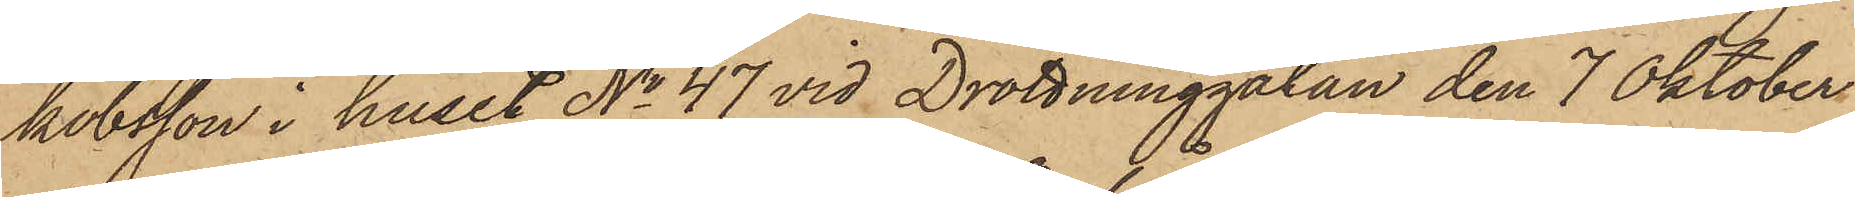kobsson i huset No 47 vid Drottninggatan den 7 Oktober
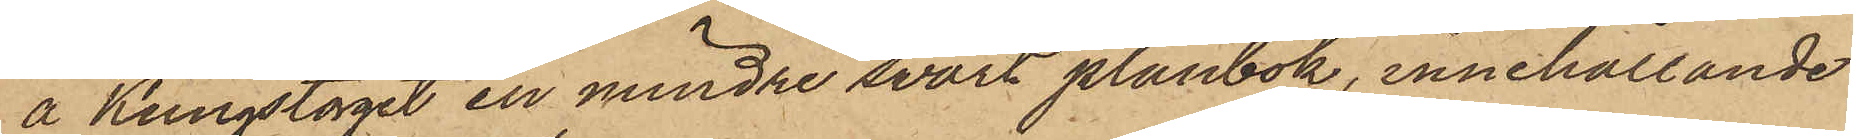å Kungstorget en mindre svart plånbok, innehållande
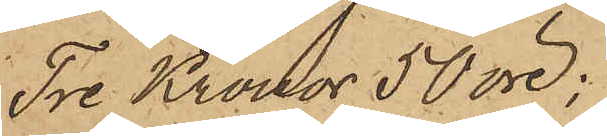Tre Kronor 50 öre;
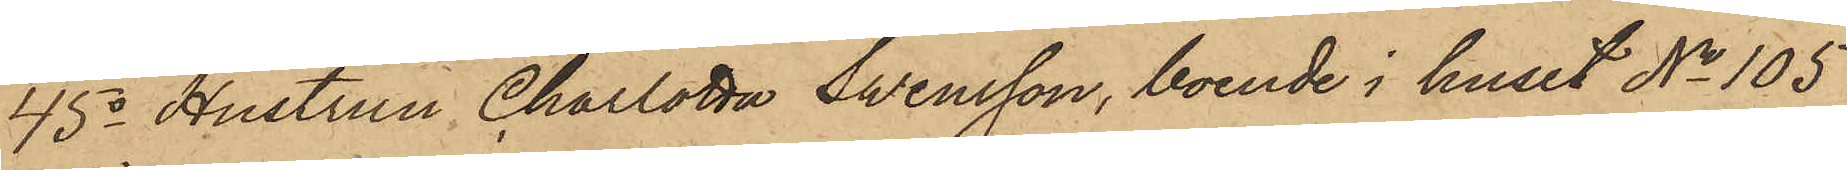45o Hustrun Charlotta Svensson, boende i huset No 105
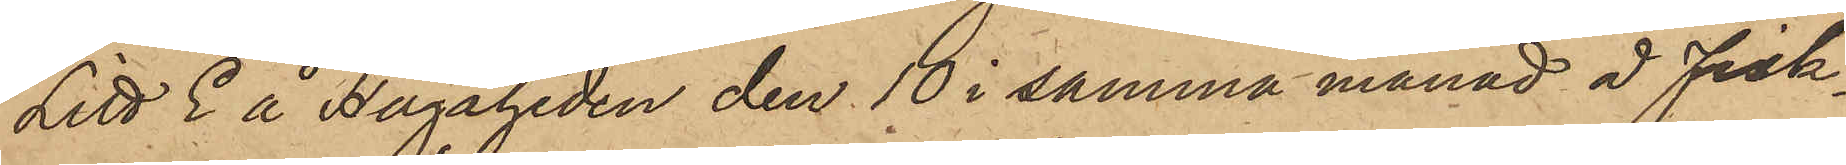Litt E å Hagaheden den 10 i samma månad å Fisk¬
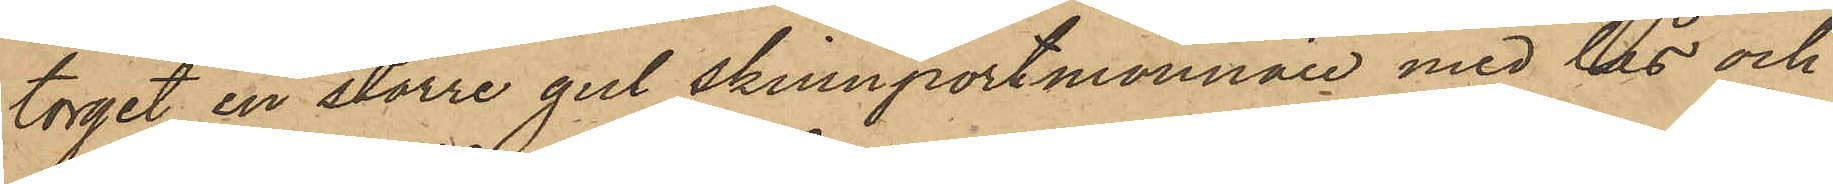torget en större gul skinnportmonnaie med lås och
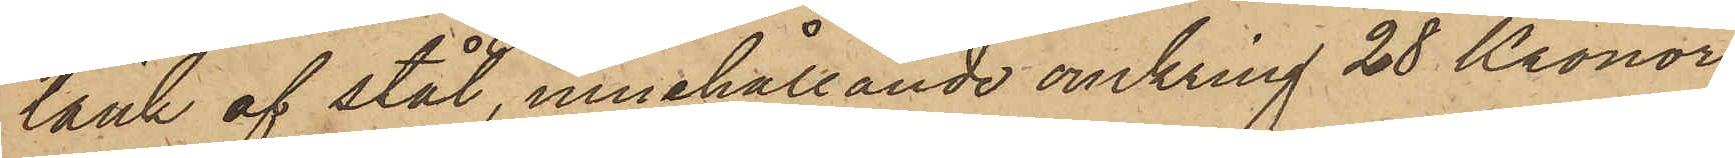länk af stål, innehållande omkring 28 Kronor
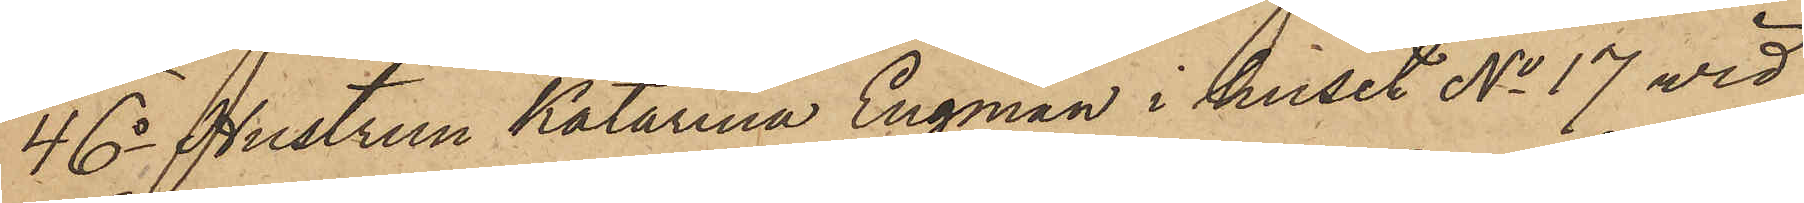46o Hustrun Katarina Engman i huset No 17 vid
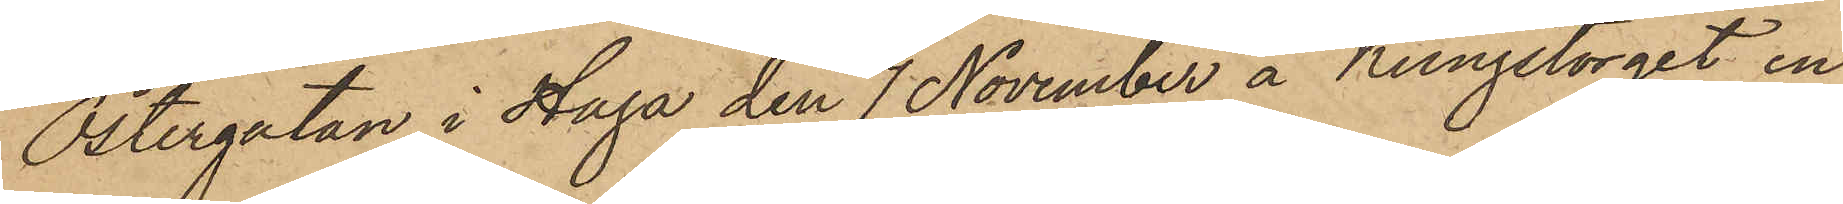Östergatan i Haga den 1 November å Kungstorget en
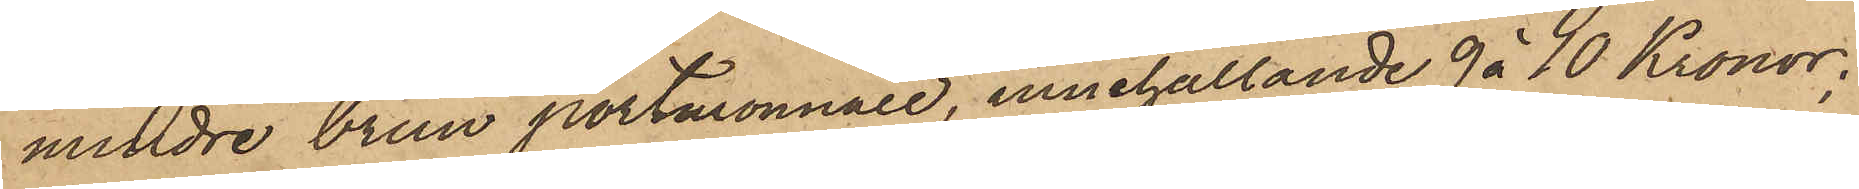mindre brun portmonnaie, innehållande 9 à 10 Kronor;
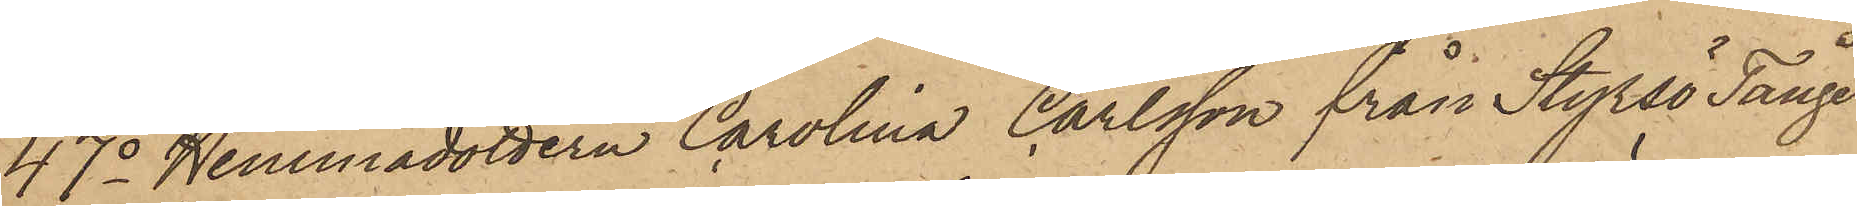47o Hemmadottern Carolina Carlsson från Styrsö Tånge
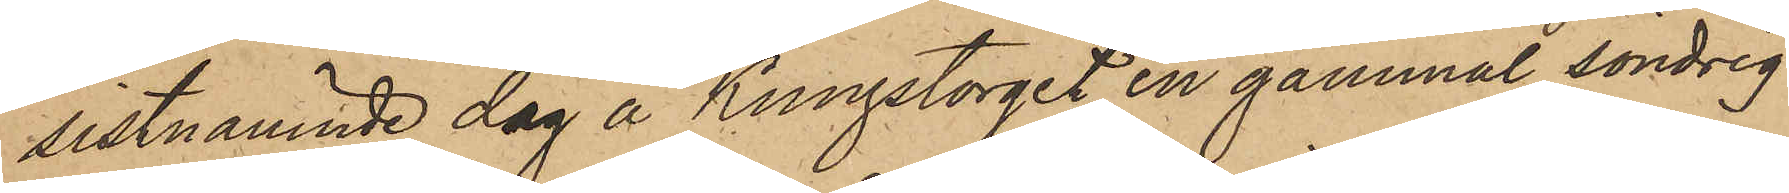sistnämnde dag å Kungstorget en gammal söndrig
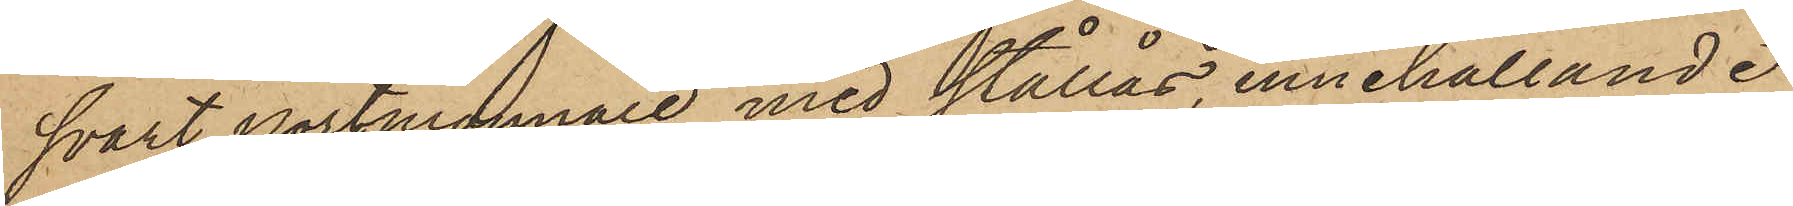svart portmonnaie med stållås innehållande
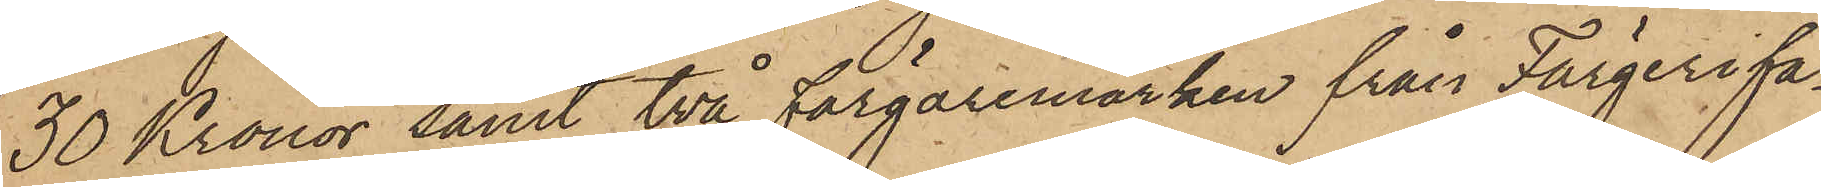30 Kronor samt två Färgaremärken från Färgerifa¬
